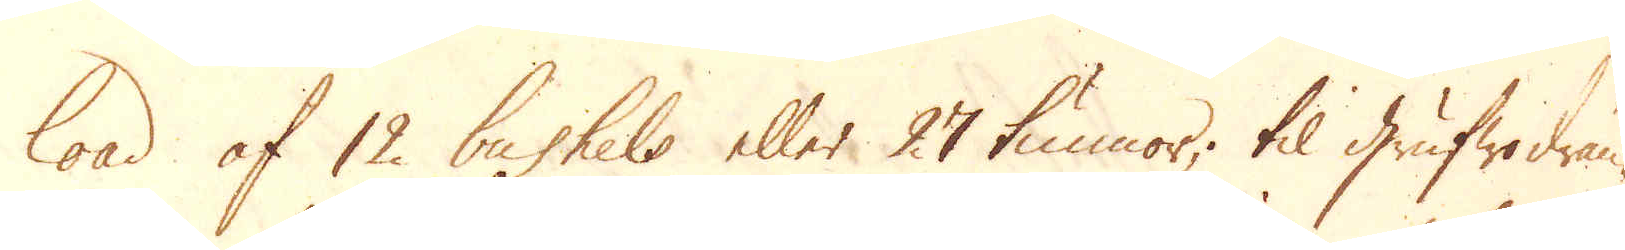load af 12 bushels eller 27 tunnor, til grufwodrän-
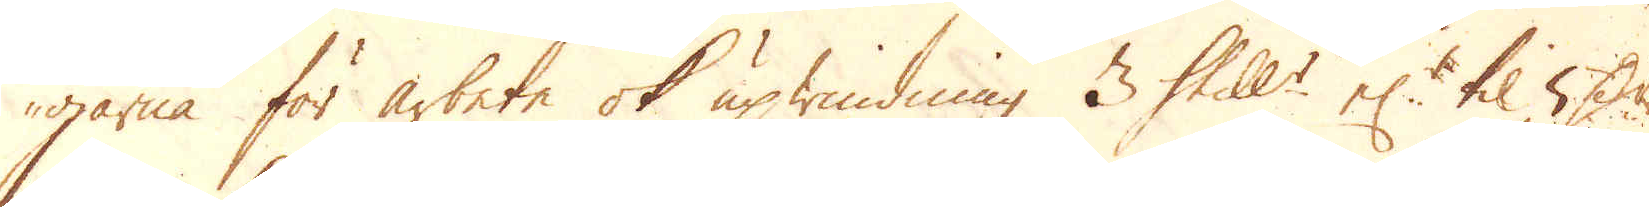garna för arbete ok upwindning 3 Skill:r el:r til 5 D:r
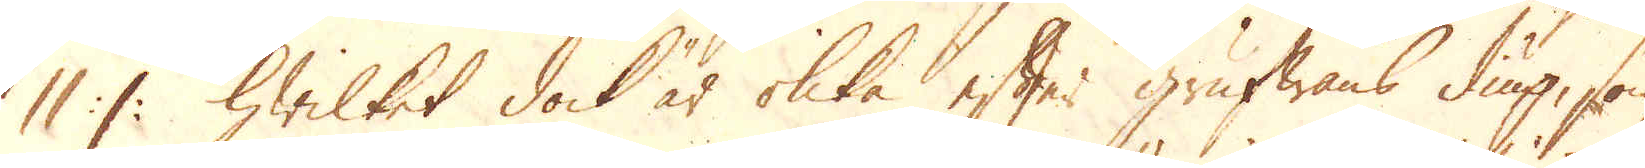11 :/: hwilket dock är olika efter grufwans diup, som
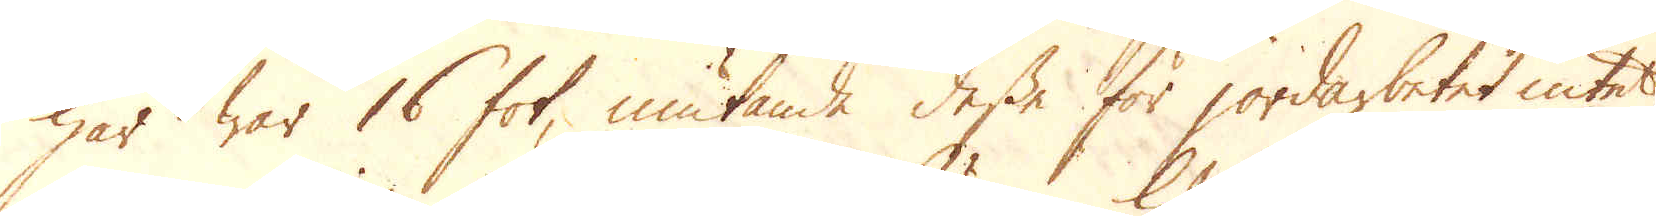här war 16 fot, niutande dessa för jordarbetet intet,
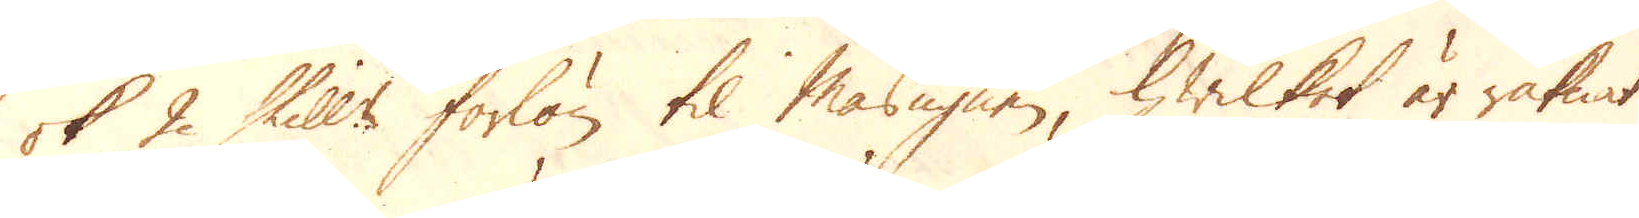ok 2 Skill:r forlön til Masugnen, hwilket är räknat
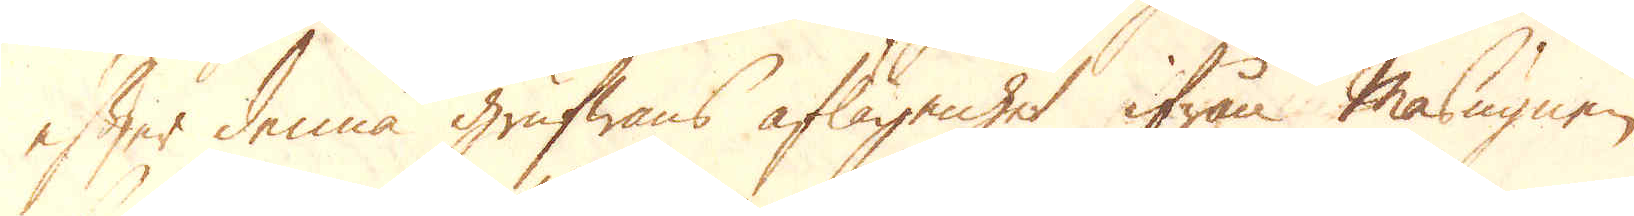efter denna grufwans aflägenhet ifrån Masugnen,
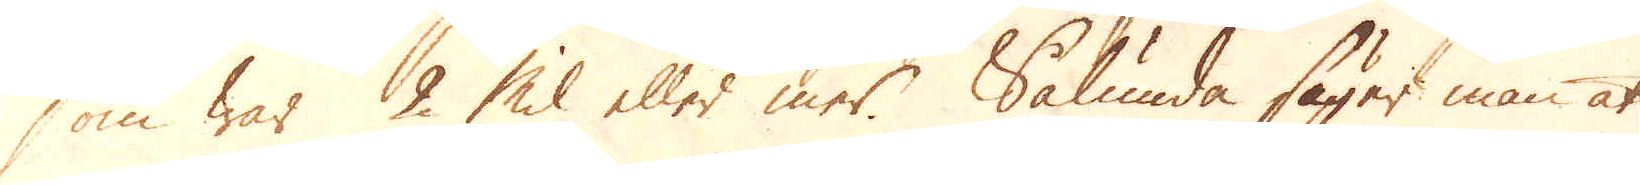som war 2 Mil eller mer. Sålunda säger man at
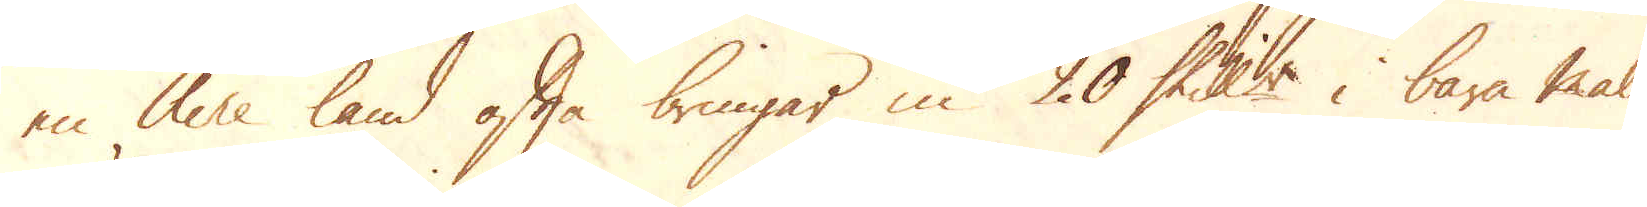en Acre land ofta bringar in 20 Skill:r i bara malm,
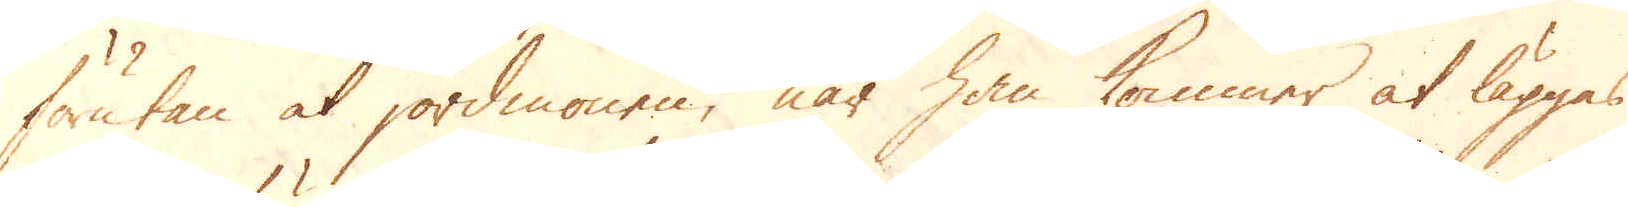förutan at jordmonen, när han kommer at läggas
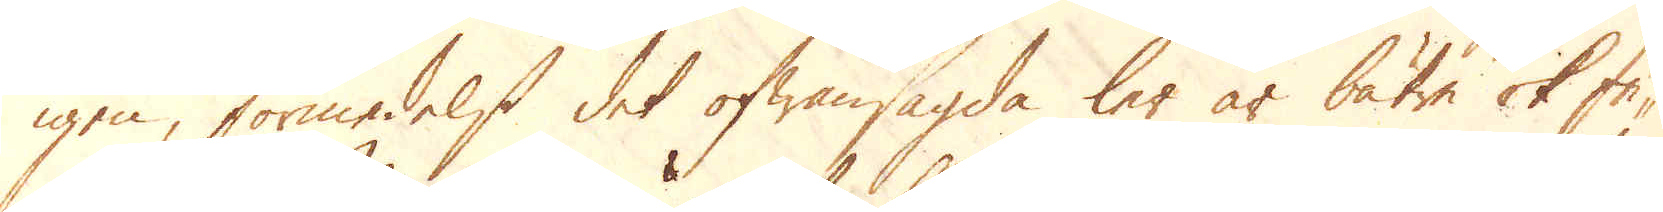igen, förmedelst det ofwansagda ler är bätre ok fe-
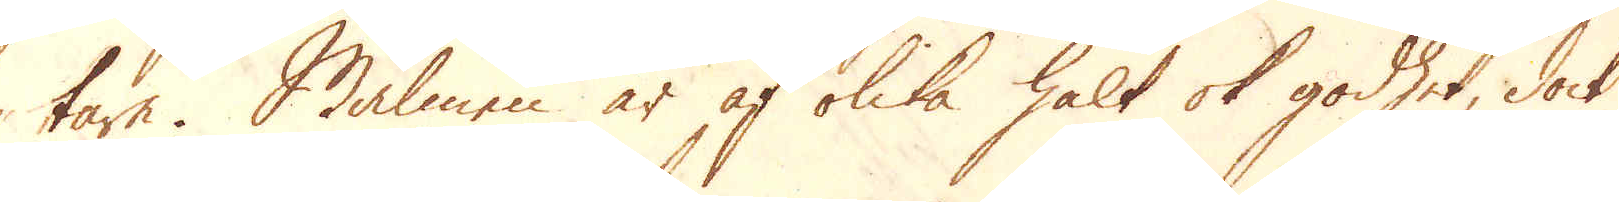tare. Malmen är af olika halt ok godhet, dock
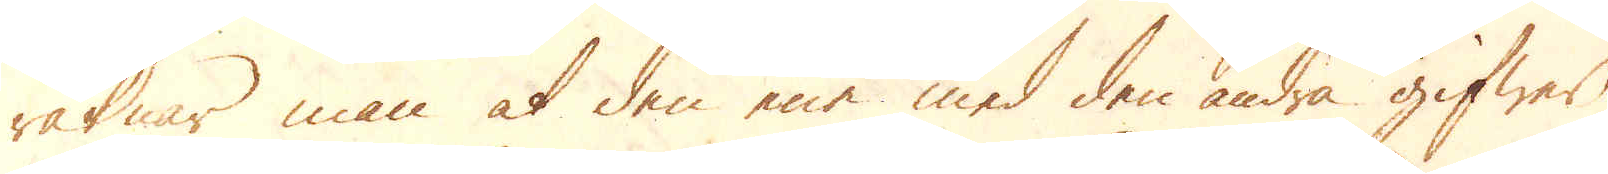räknar man at den ene med den andra gifwer
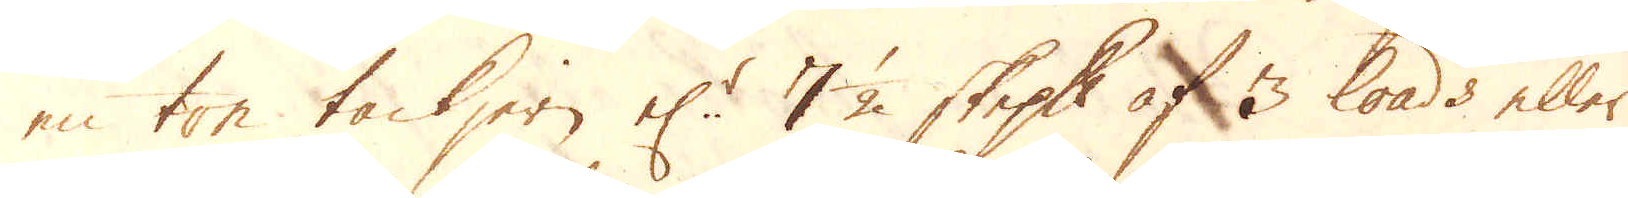en ton tackjern el:r 7 1/2 skeppund af 3 loads eller
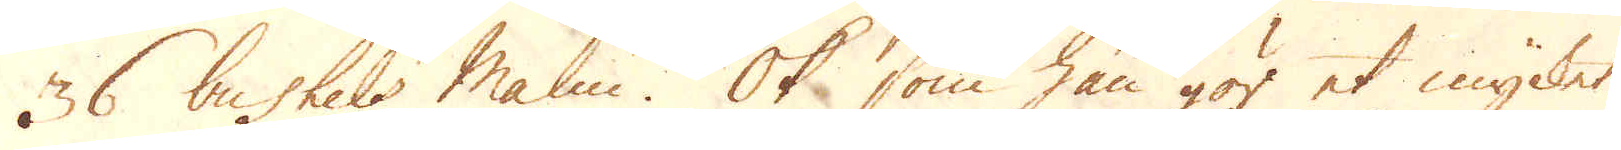36 bushels Malm. Ok som han gör et mycket
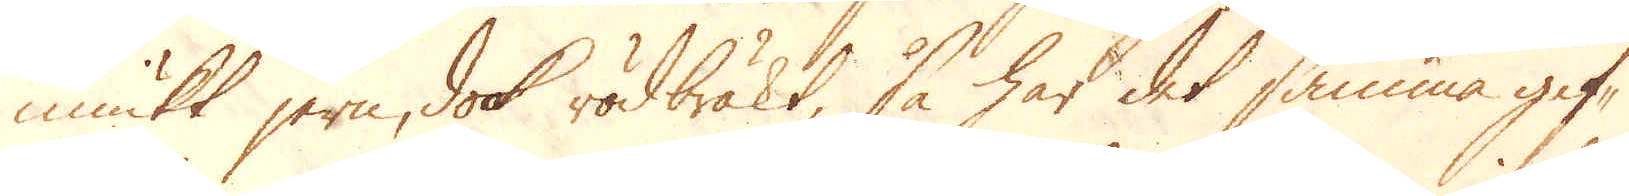miukt jern, dock rödbräkt, så har det samma gif-
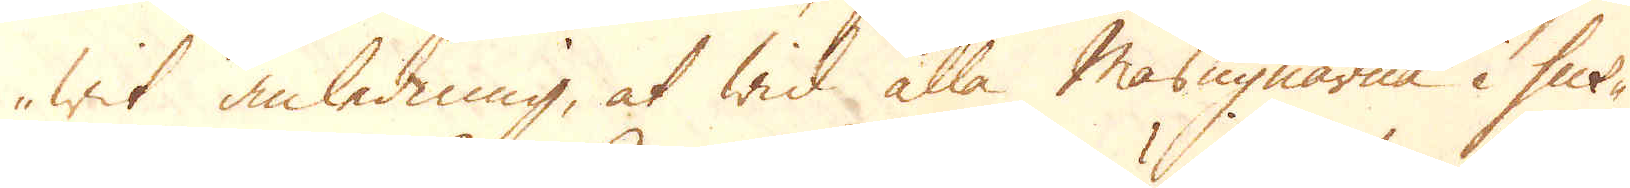wit anledning, at wid alla Masugnarna i Sus-
